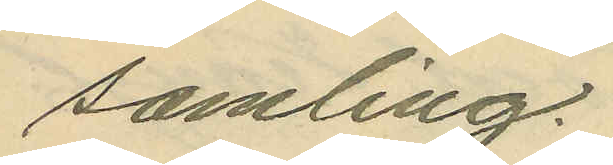samling.
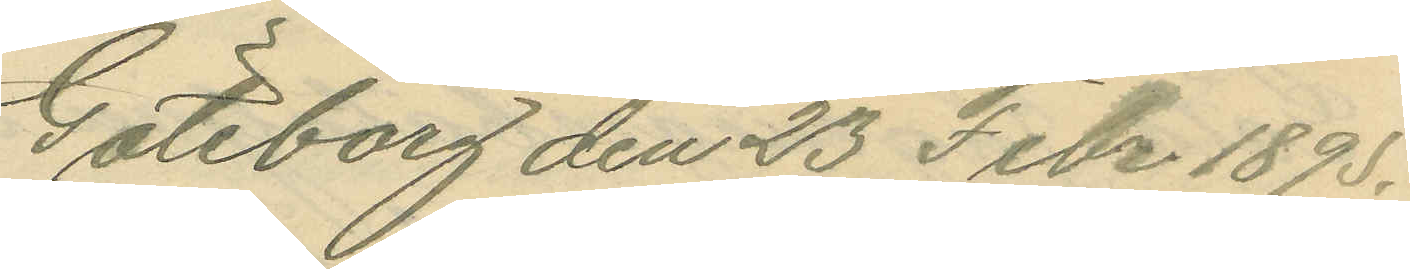Göteborg den 23 Febr 1895.
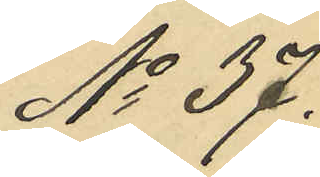No 37.
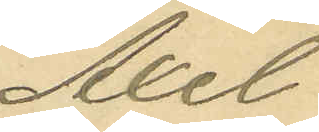Axel
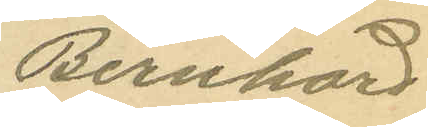Bernhard
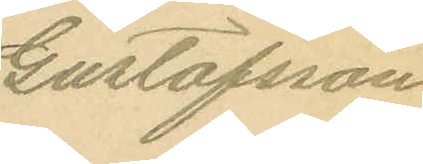Gustafsson
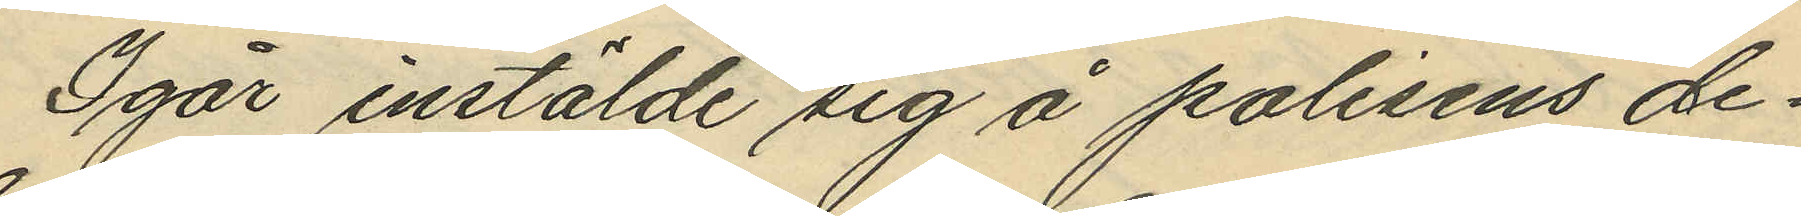Igår instälde sig å polisens de¬
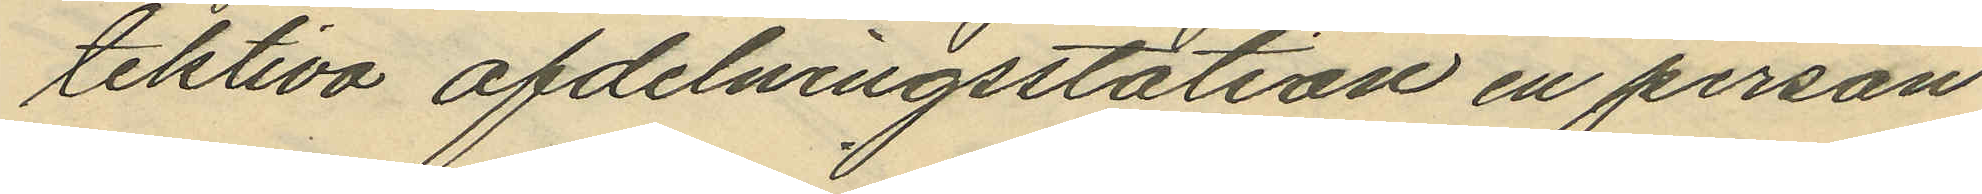tektiva afdelningsstation en person
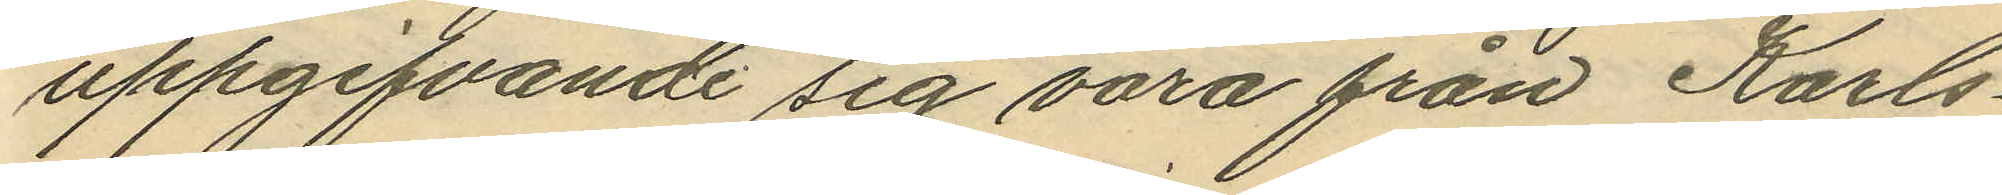uppgifvande sig vara från Karls¬
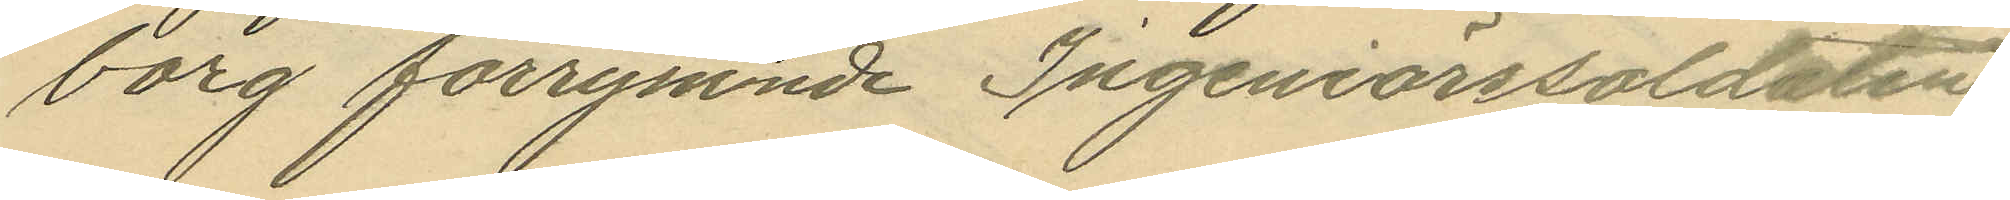borg förrymmde Ingeniörssoldaten
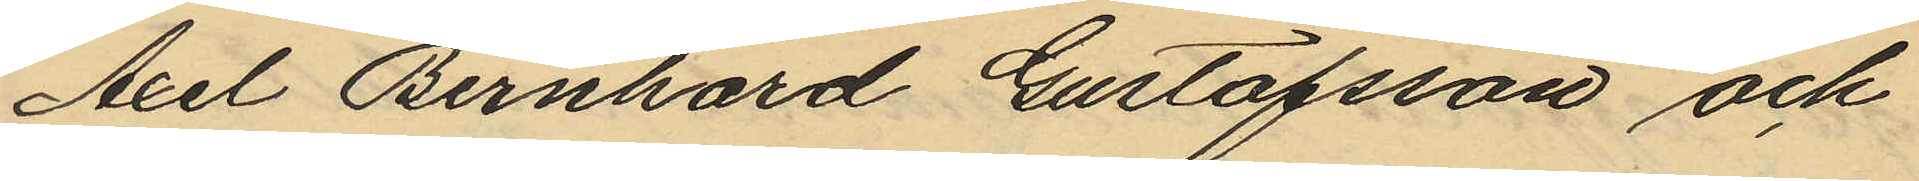Axel Bernhard Gustafsson och
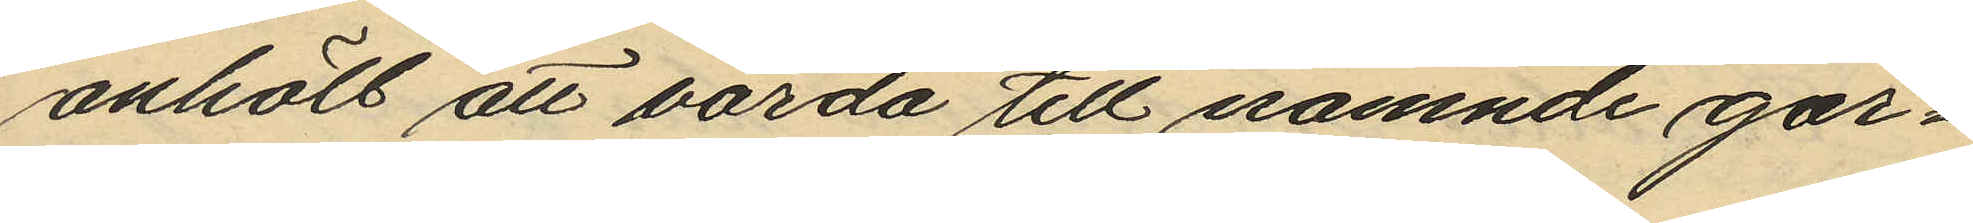anhöll att varda till nämnde gar¬
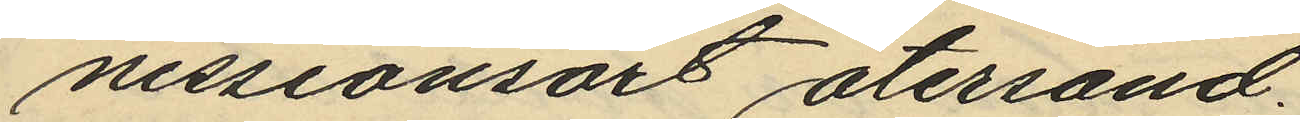nisonsort återsänd.
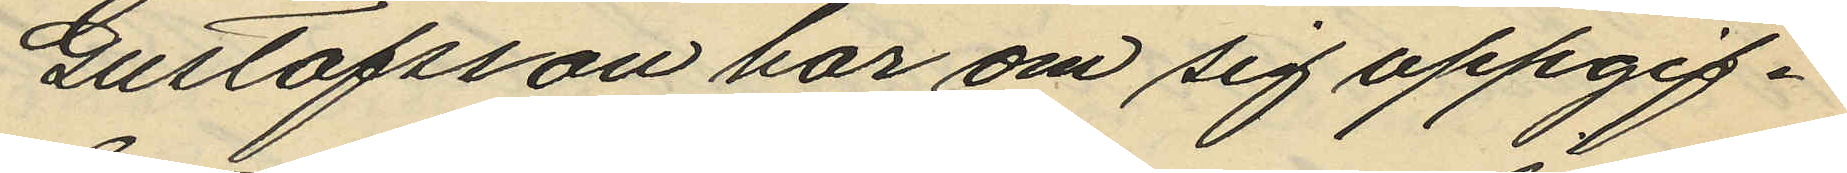Gustafsson har om sig uppgif¬
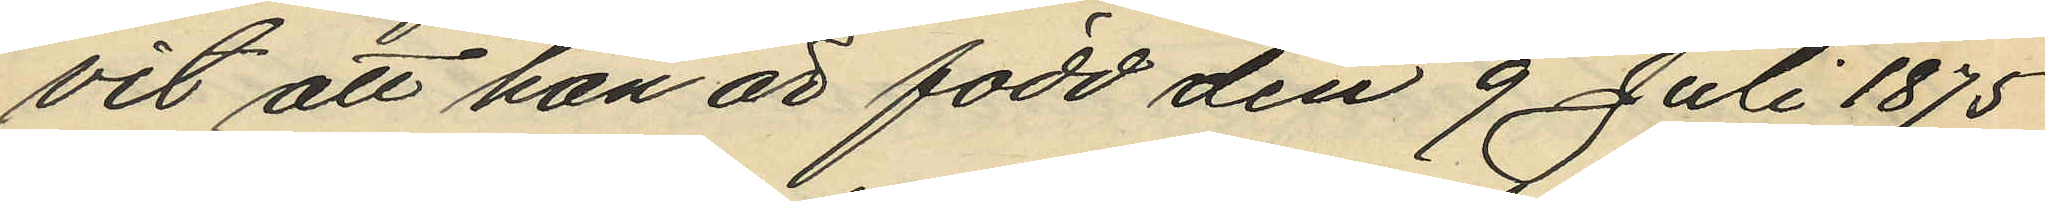vit att han är född den 9 Juli 1875
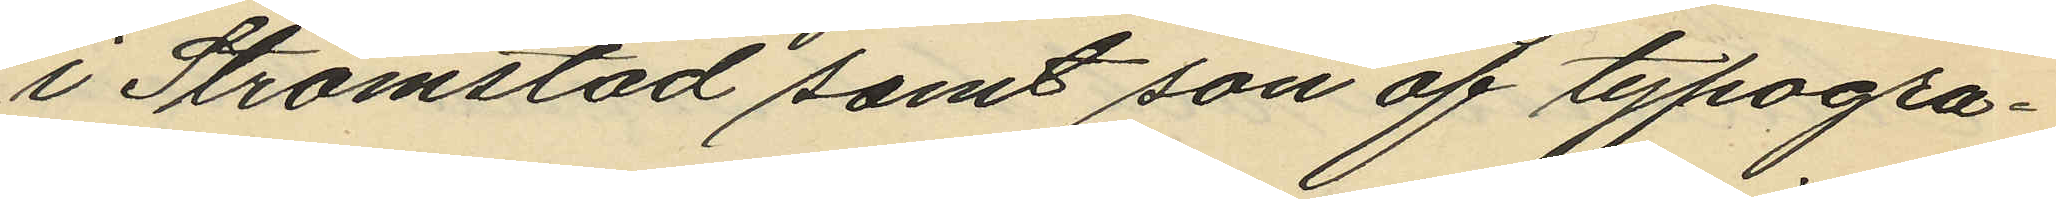i Strömstad samt son af typogra¬
